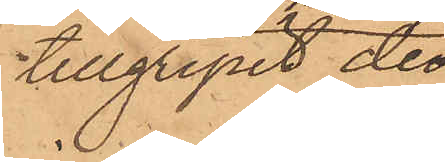tillgripit de
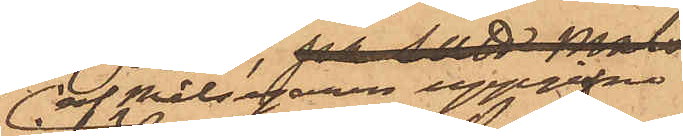af målsegaren uppgifne 
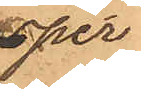 per¬
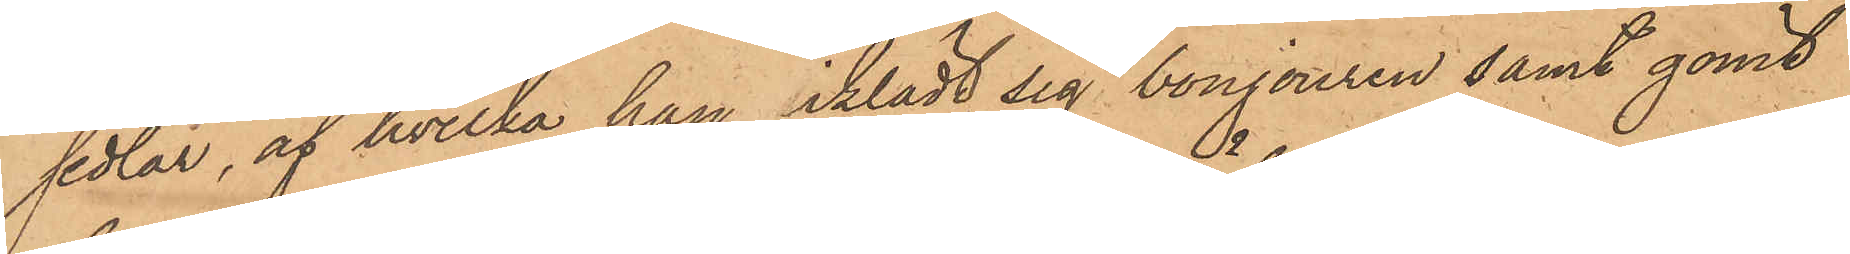sedlar, af hvilka han iklädt sig bonjouren samt gömt
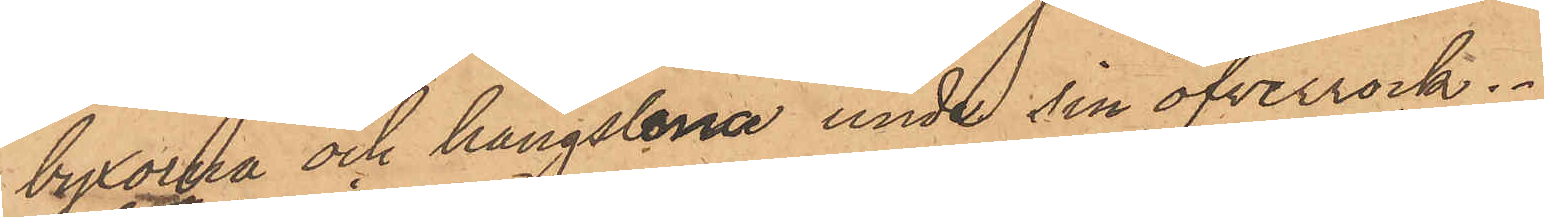byxorna och hängslena under sin öfverrock.
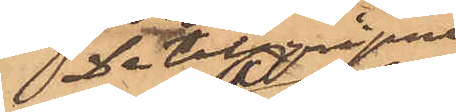De tillgripne
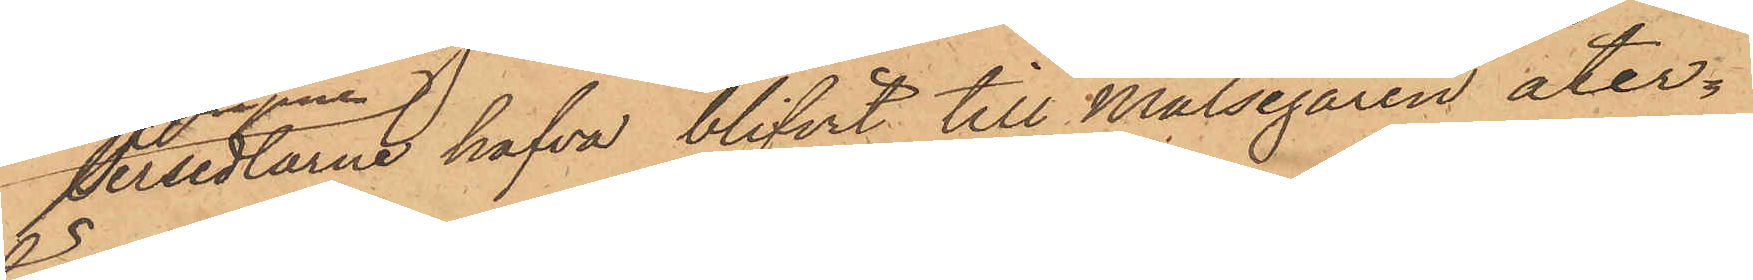persedlarne hafva blifvit till Målsegaren åter¬
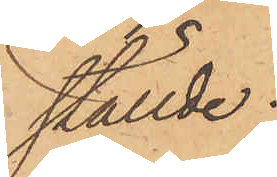ställde.
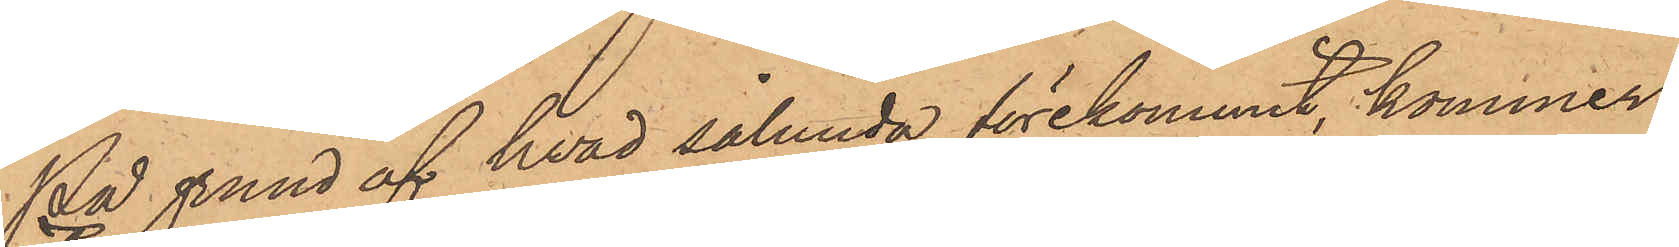På grund af hvad sålunda förekommit, kommer
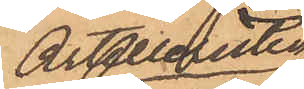Artilleristen
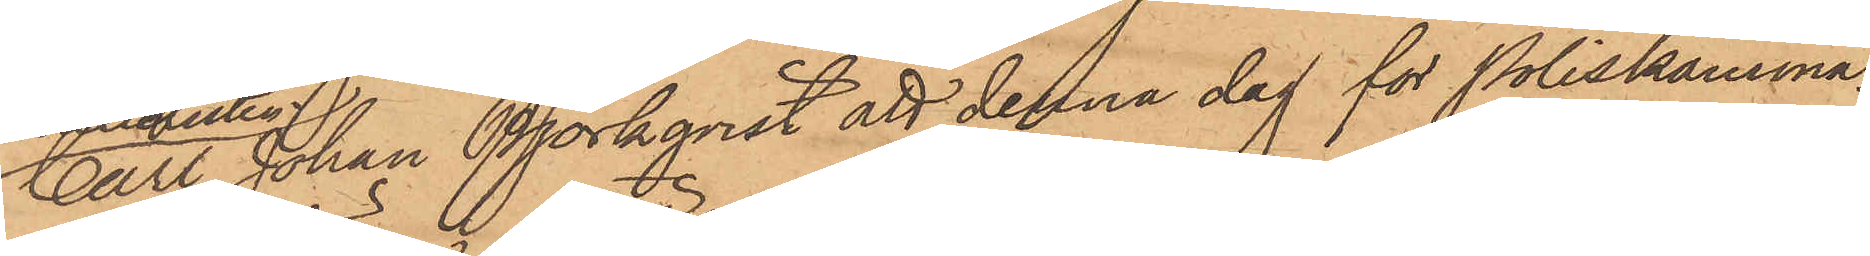Carl Johan Björkqvist att denna dag för Poliskamma¬
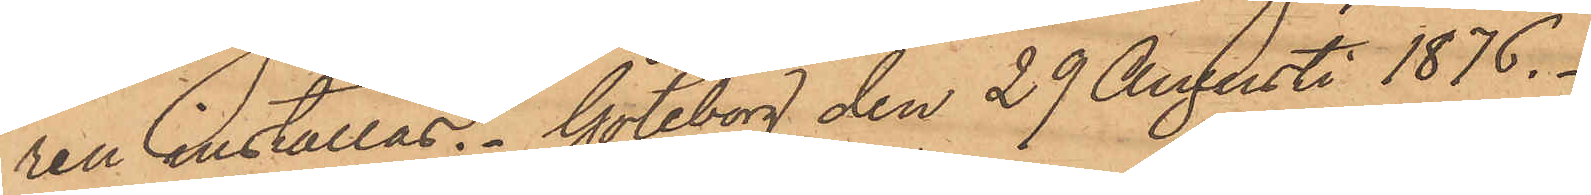ren inställas. Göteborg den 29 Augusti 1876.
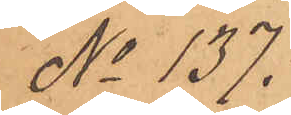No 137.
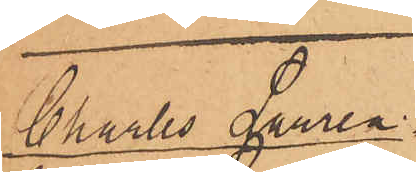Charles Lauren¬
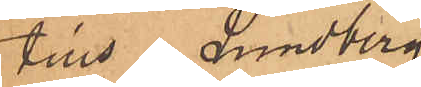tius Lundberg
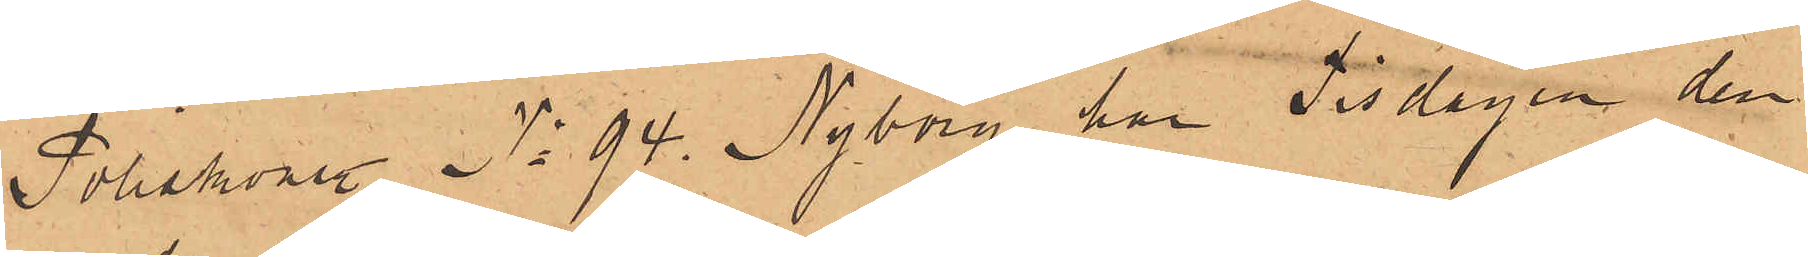Poliskonstl No 94. Nyberg har Tisdagen den
